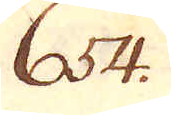654.
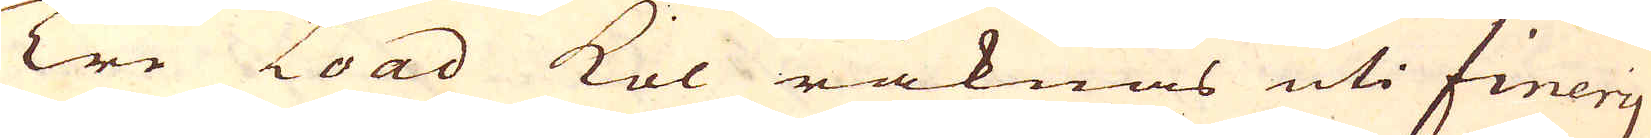Tre Load kol räknas uti finery
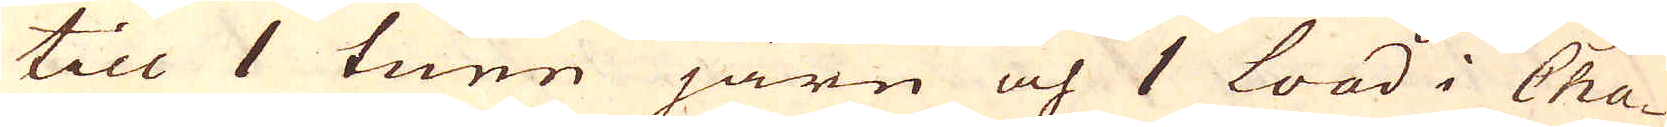till 1 tunn järn och 1 load i Cha-
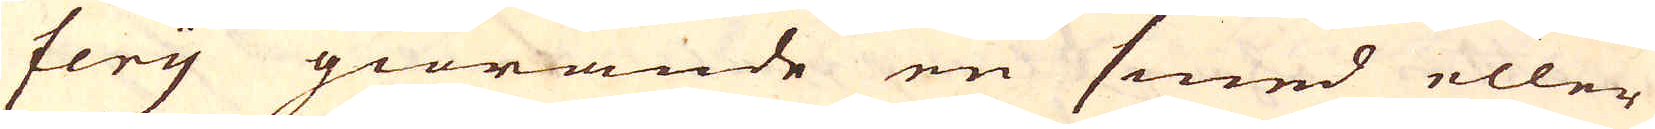fery giörande en smed eller
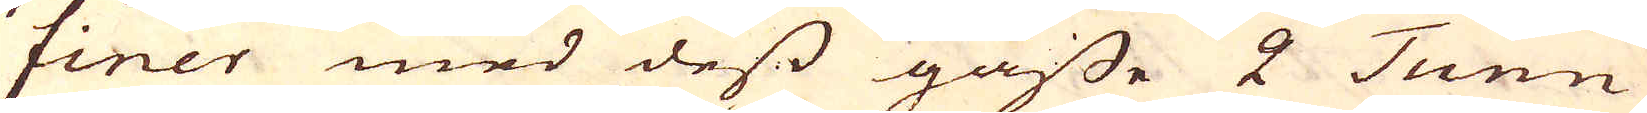finer med dess gåsse 2 Tunn
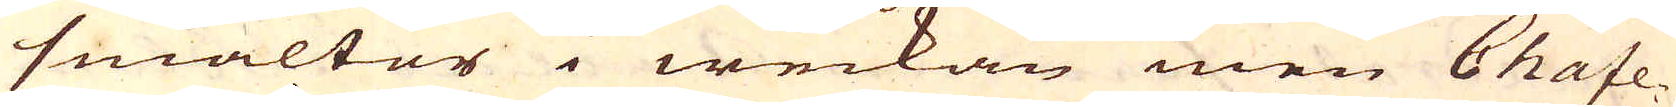smältor i weckan men Chafe-
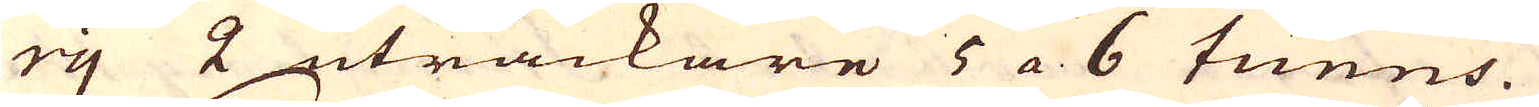ry 2 uträckare 5 a 6 tunns.
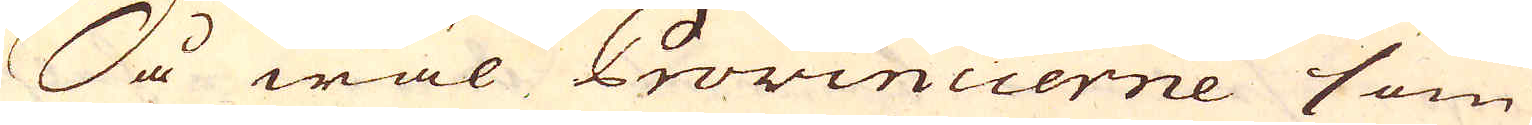Så wäl Provincierne som
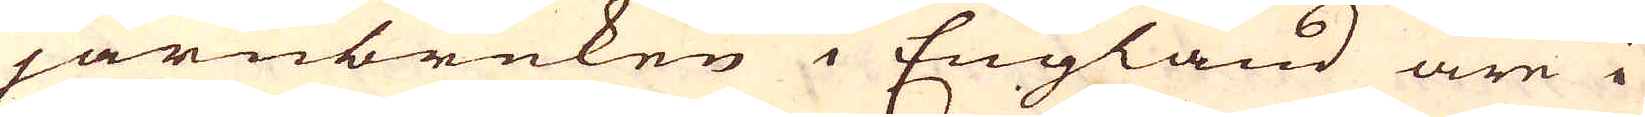järnbruken i England äre i
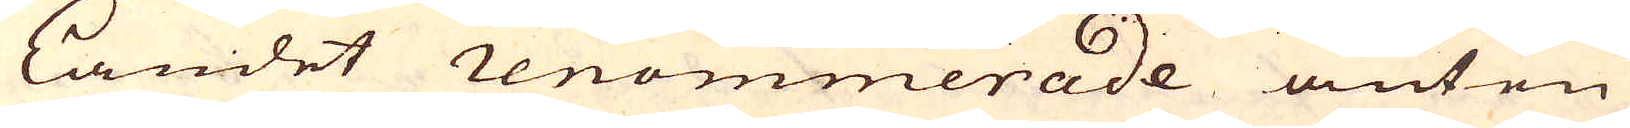Landet renommerade anten
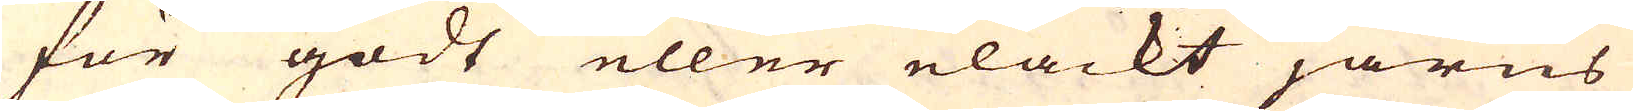för godt eller elackt järns
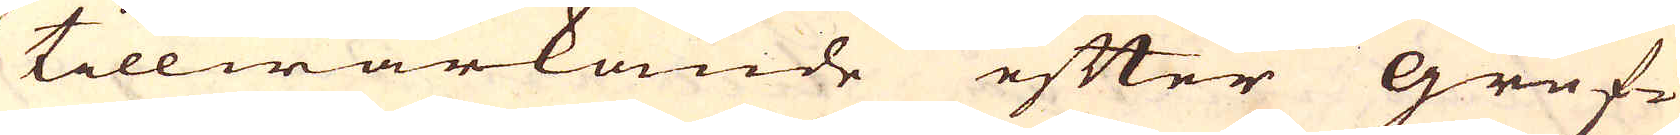tillwärkande efter Gruf-
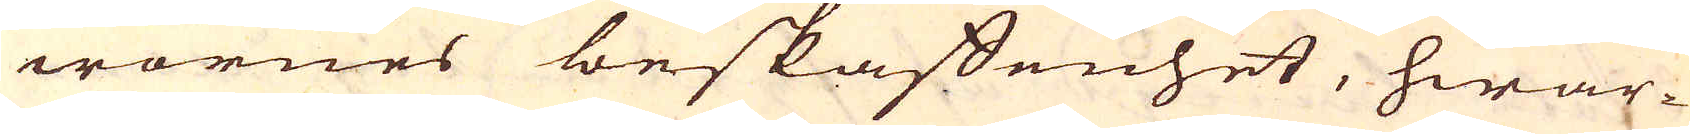wornes beskaffenhet, hwar-
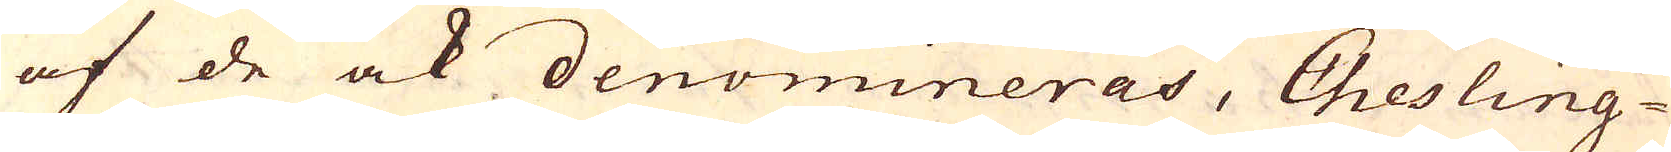af de ock denomineras, Chesling-
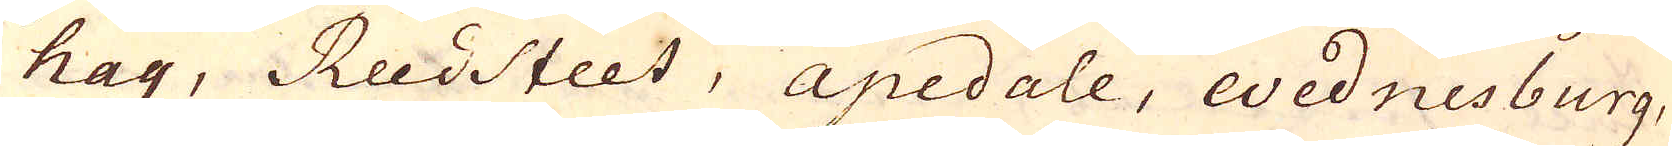hay, Reedsteet, apedale, Wednesburg,
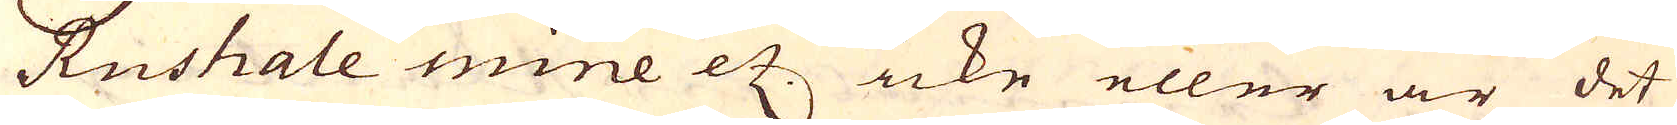Rushale mine etc. icke eller är det
